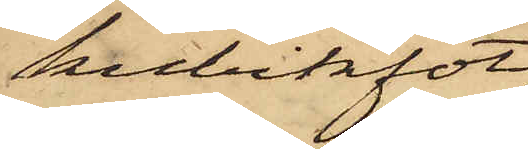kubikfot
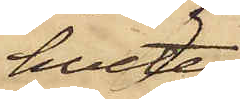hvete,
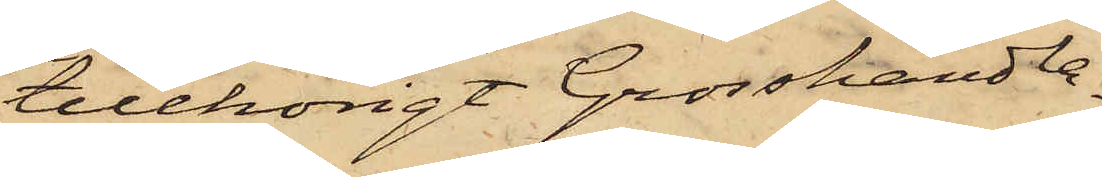tillhörigt Grosshandla¬
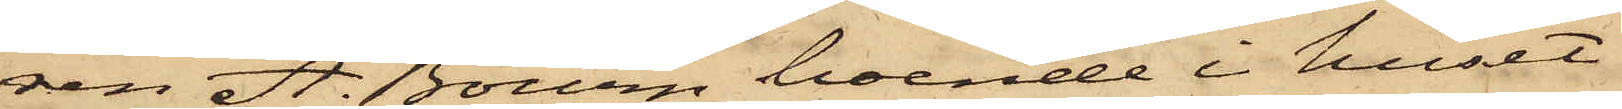ren A. Bourn, boende i huset
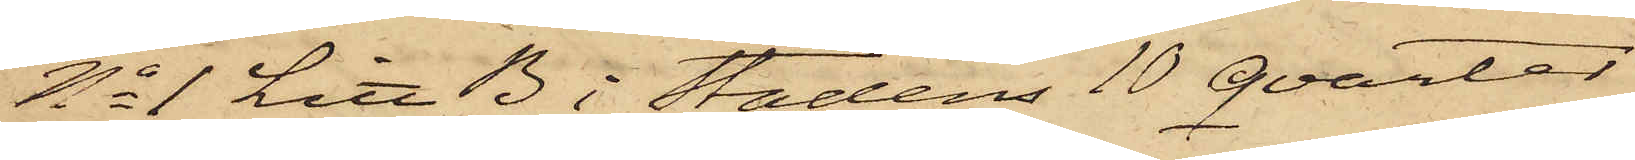No 1 Litt. B i Stadens 10 Qvarter,
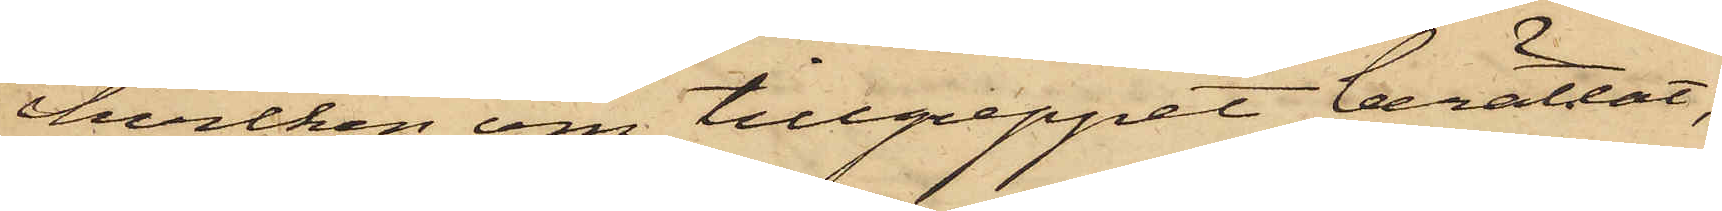hvilken om tillgreppet berättat,
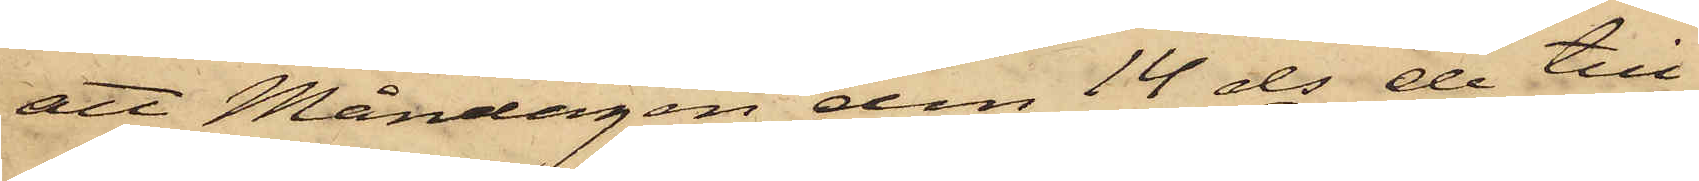att Måndagen den 14 ds de till¬
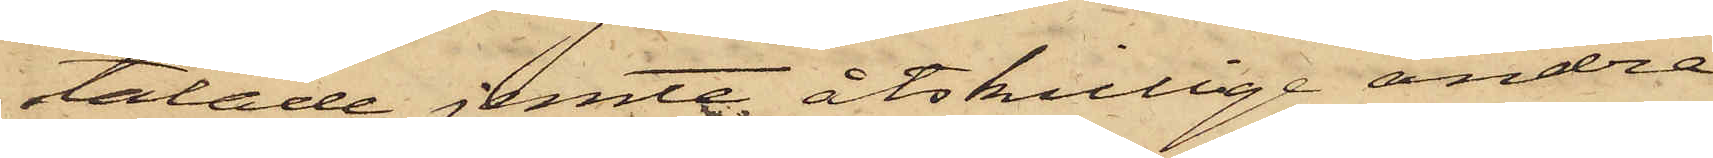talade jemte åtskillige andra
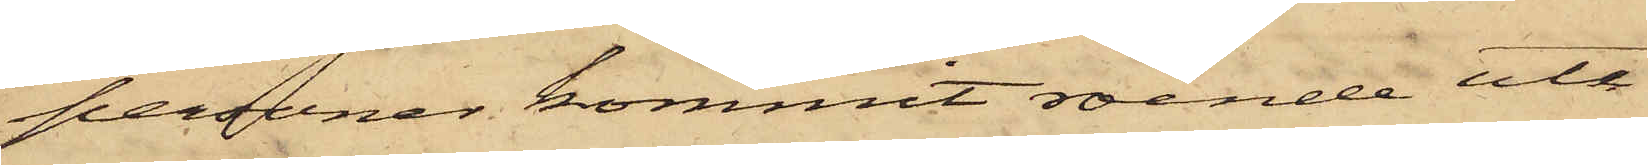personer kommit roende ute
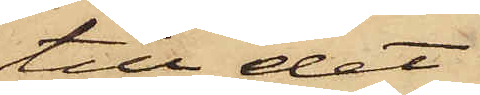till det
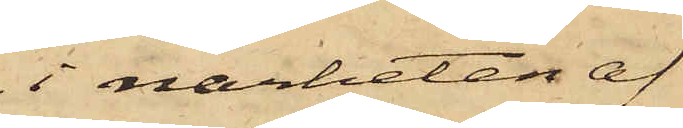i närheten af
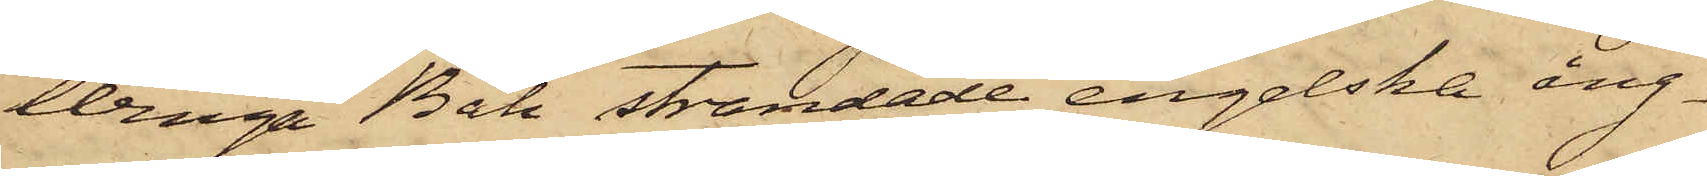Winga Båk strandade engelska ång¬
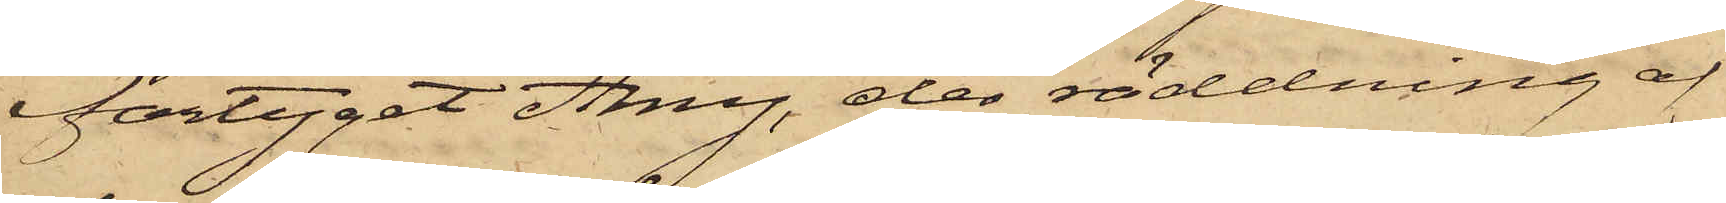fartyget Amy, der räddning af
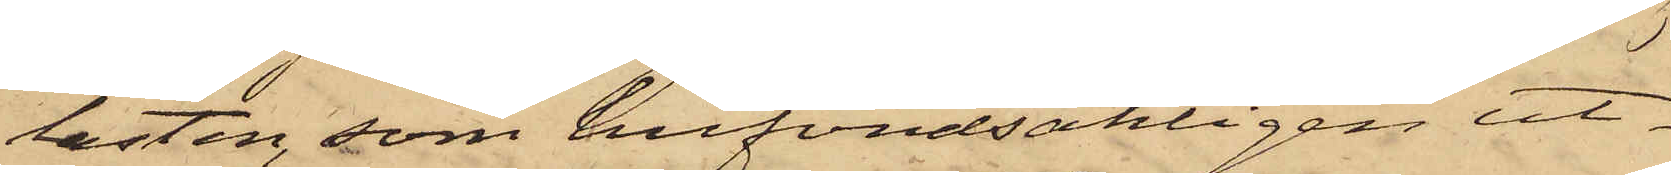lasten, som hufvudsakligen ut¬
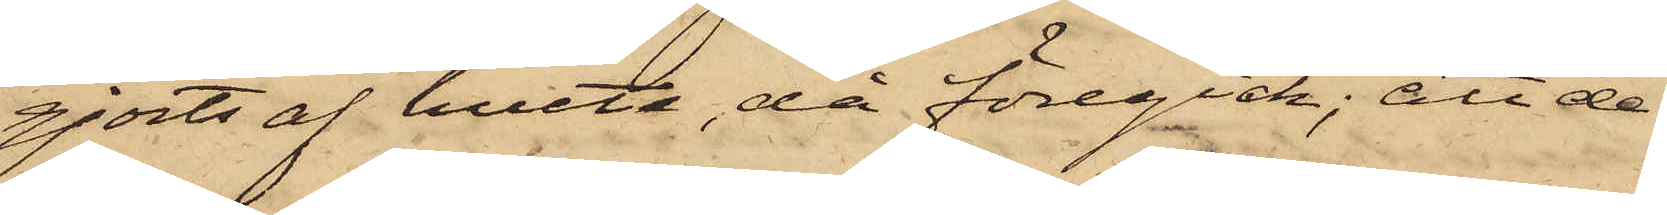gjorts af hvete, då föregick; att de
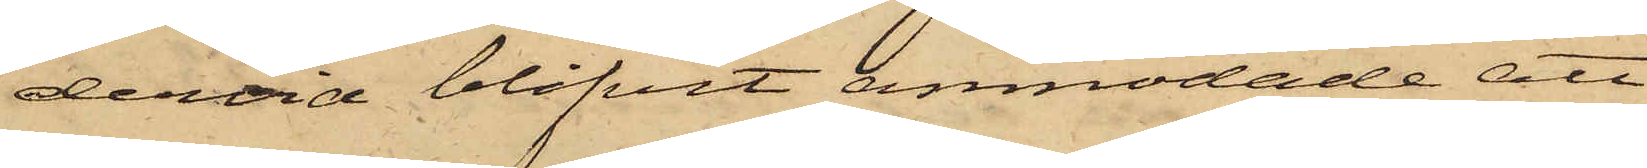dervid blifvit anmodade att
